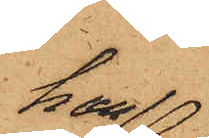han
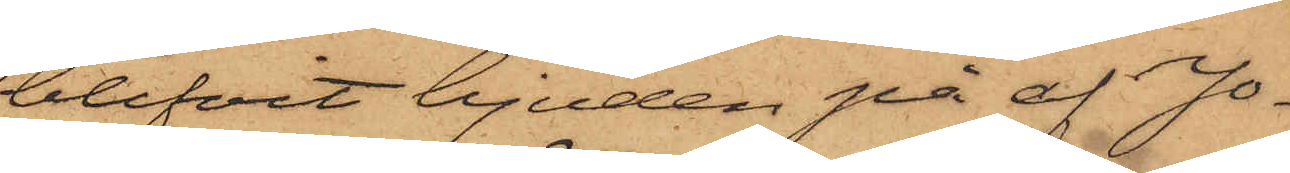blifvit bjuden på af Jo¬
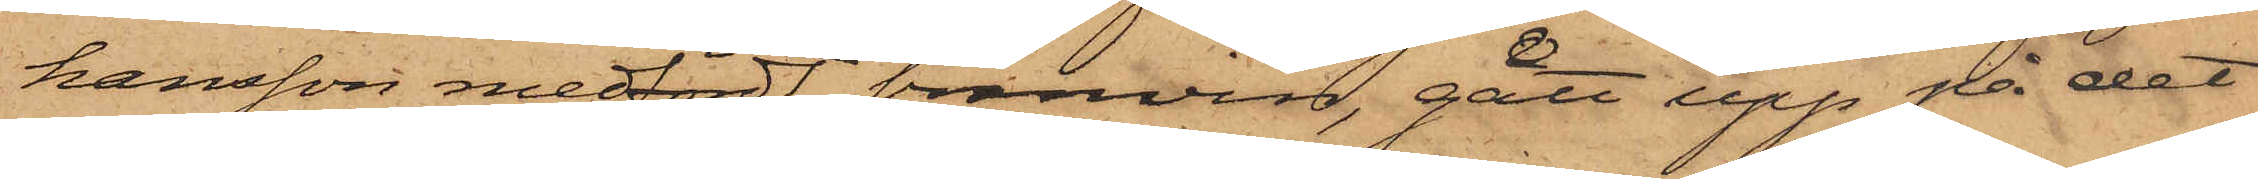hansson medfördt bränvin, gått upp på det
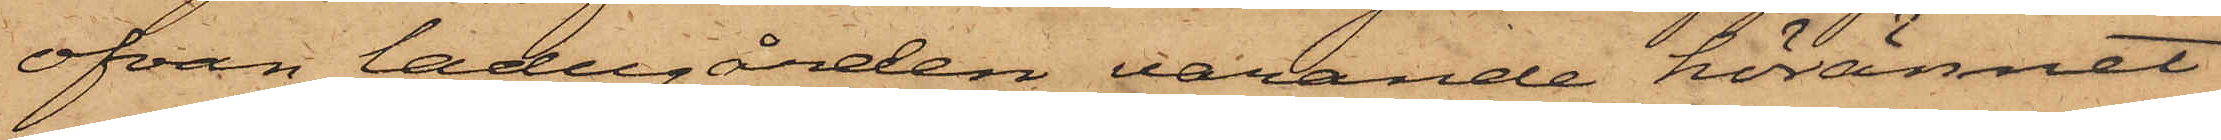ofvan ladugården varande hörännet
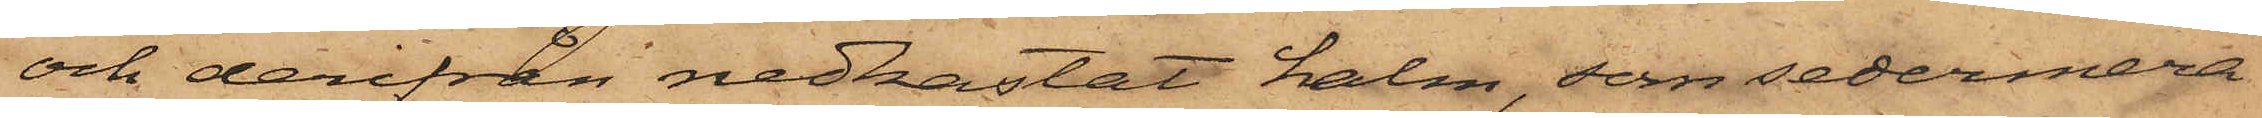och derifrån nedkastat halm, som sedermera
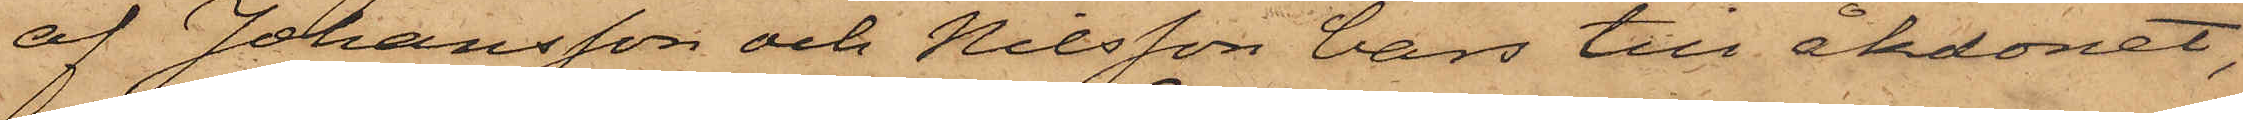af Johansson och Nilsson bars till åkdonet,
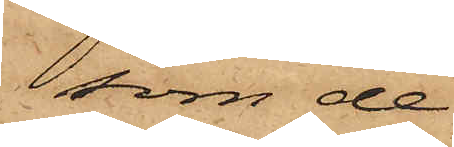som de
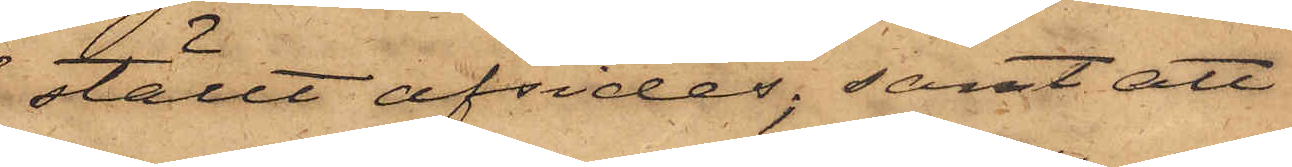ställt afsides; samt att
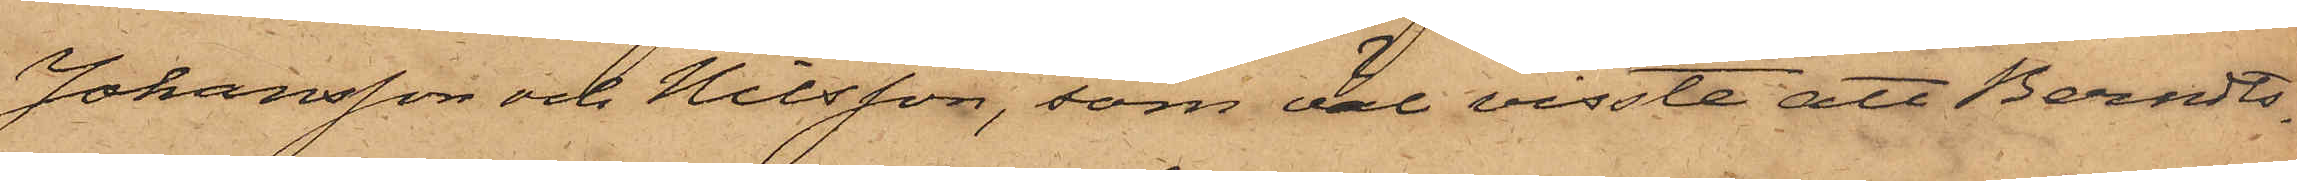Johansson och Nilsson, som väl visste att Berndts¬
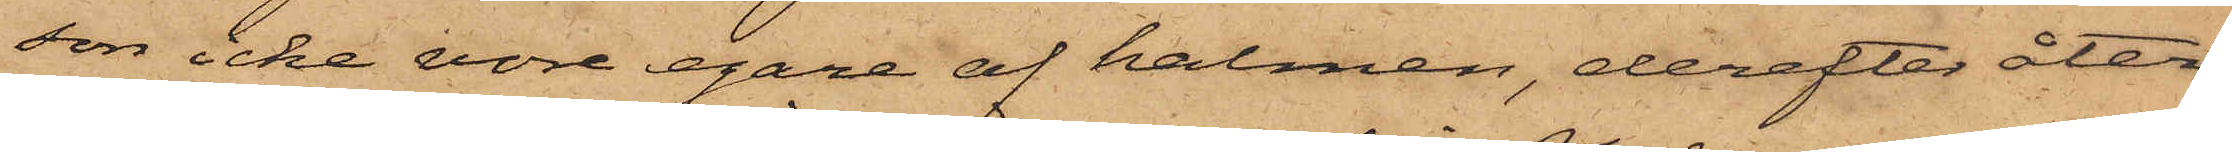son icke vore egare af halmen, derefter åter¬
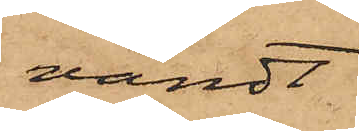vändt
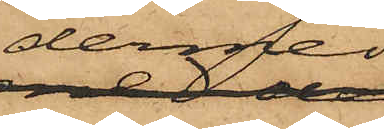dermed
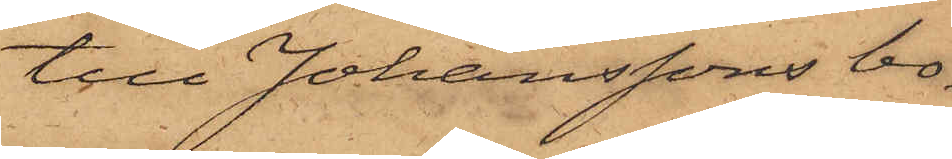till Johanssons bo¬
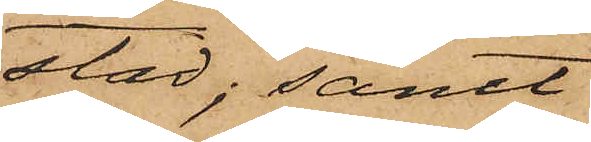stad; samt
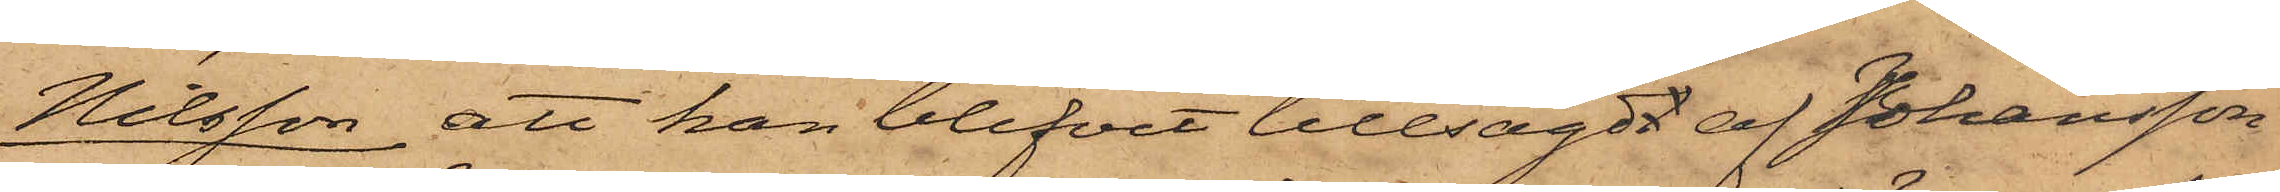Nilsson att han blifvit tillsagdt af Johansson
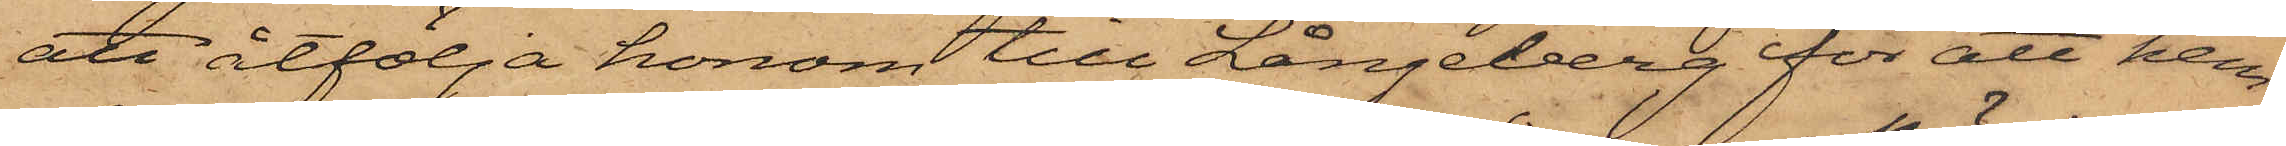att åtfölja honom till Långeberg för att hem¬
